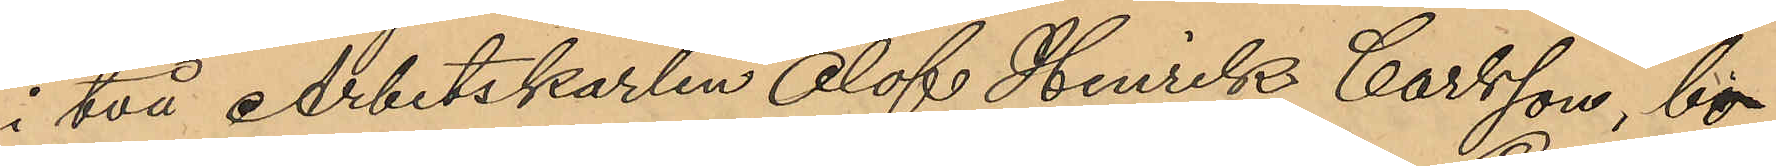i två Arbetskarlen Olof Henrik Carlsson, bo¬
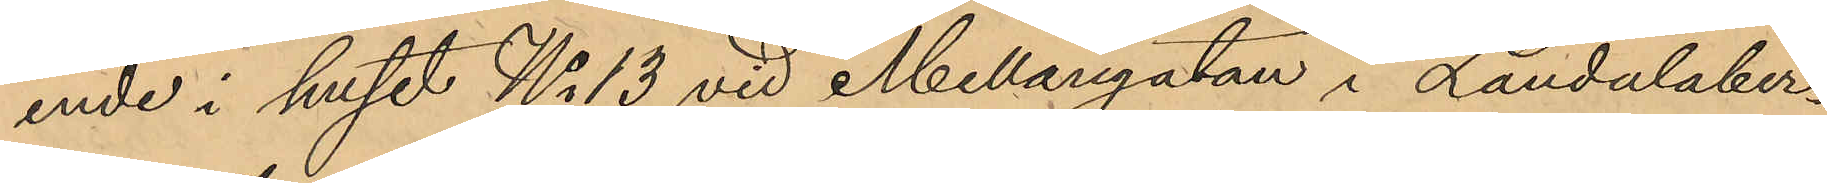ende i huset No 13 vid Mellangatan i Landalaber¬
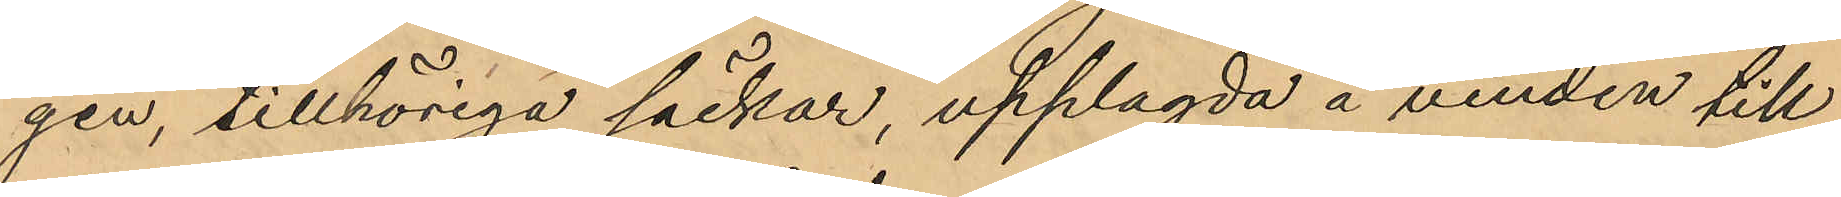gen, tillhöriga säckar, upplagda å vinden till
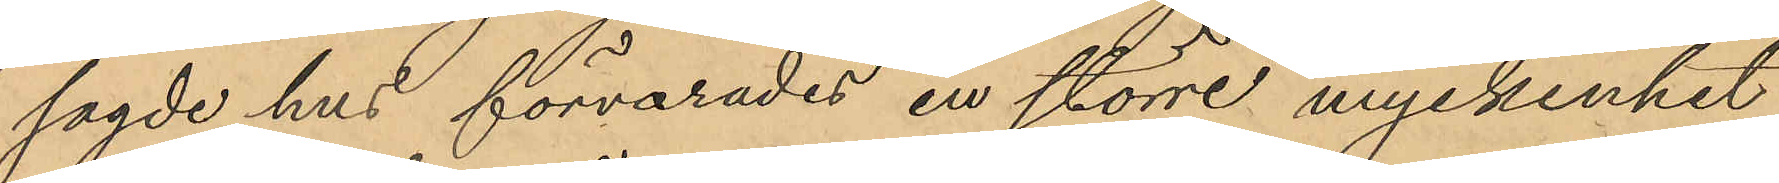sagde hus förvarades en större myckenhet
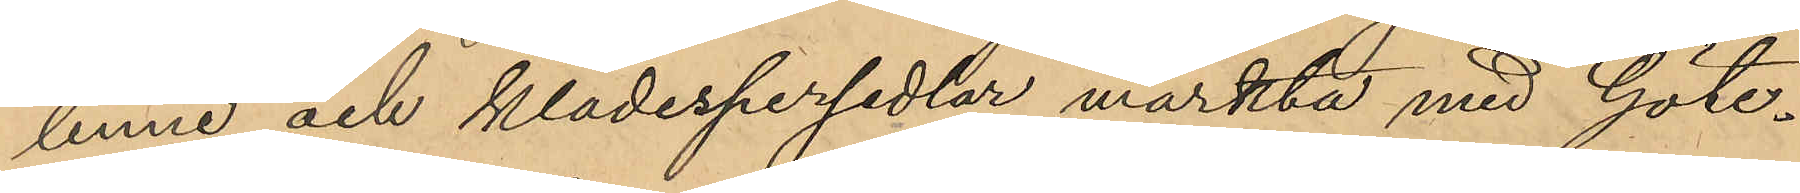linne och klädespersedlar märkta med Göte¬
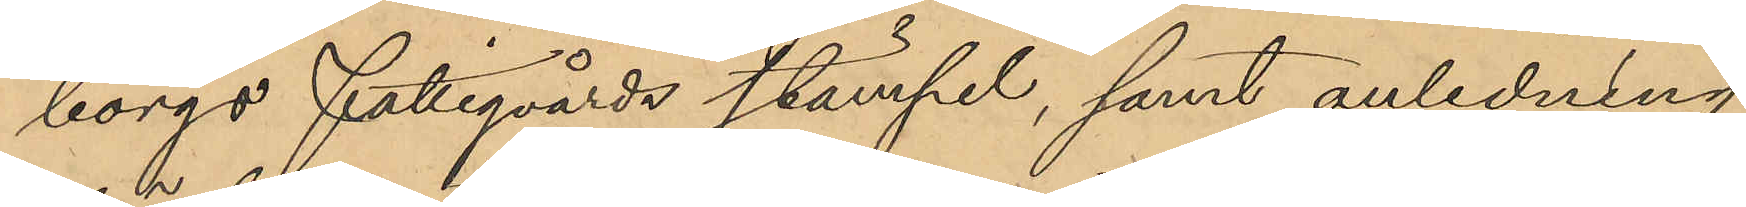borgs Fattigvårds stämpel, samt anledning
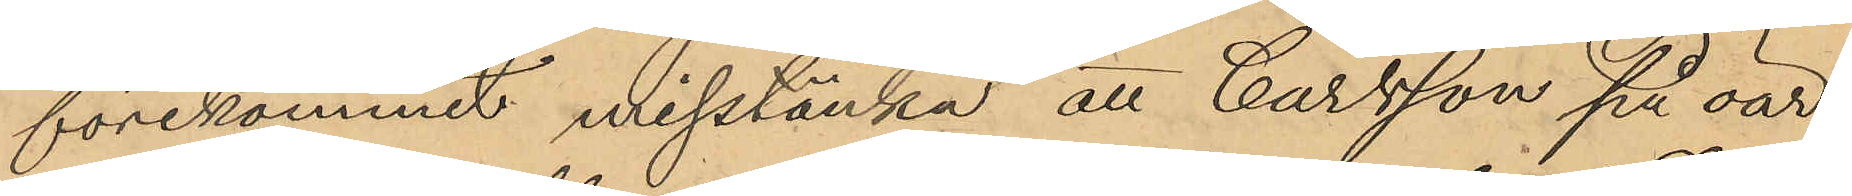förekommit misstänka; att Carlsson på oär¬
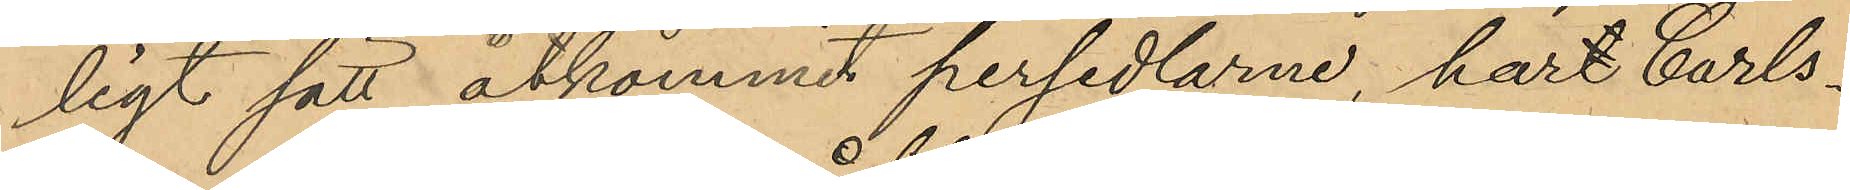ligt sätt åtkommit persedlarne, hart Carls¬
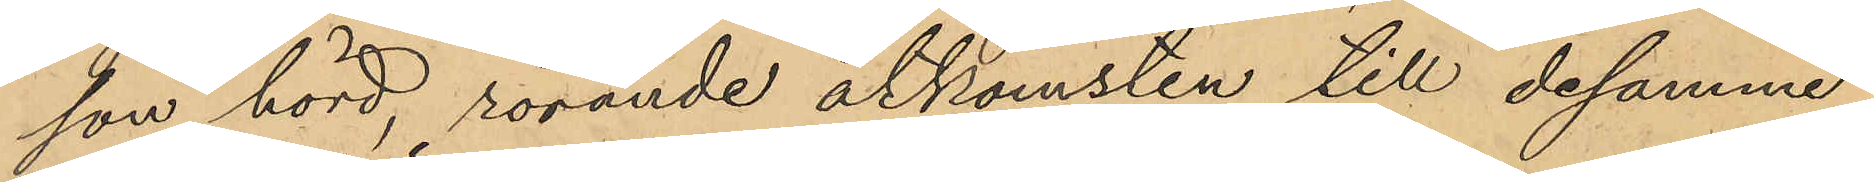son hörd, rörande åtkomsten till desamma,
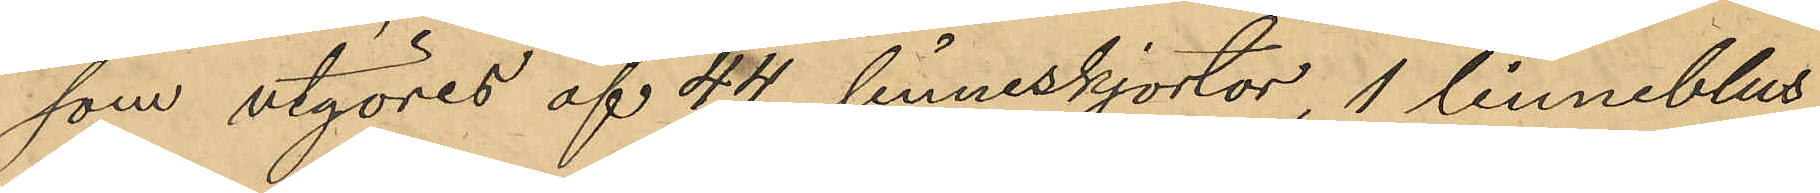som utgöres af 44 linneskjortor, 1 linneblus,
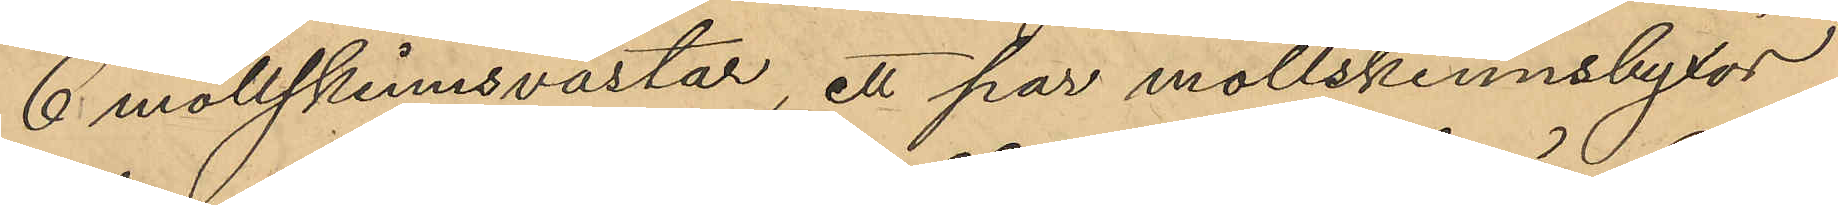6 mollskinnsvästar, ett par mollskinnsbyxor
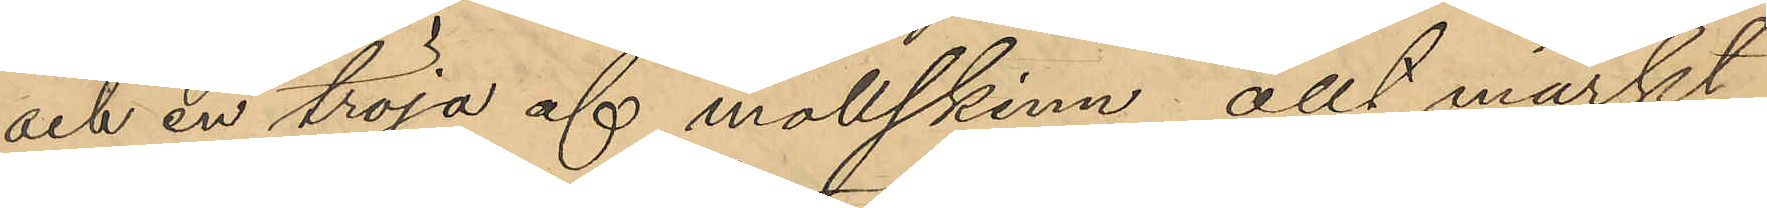och en tröja af mollskinn, allt märkt
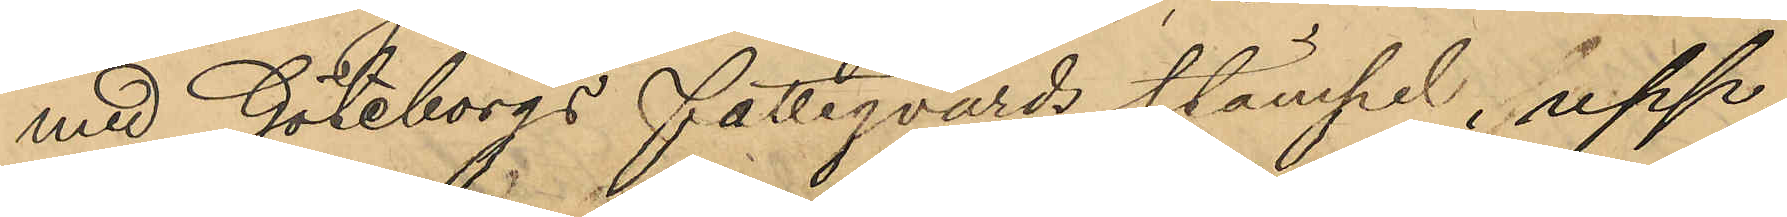med Göteborgs fattigvårds stämpel, upp¬
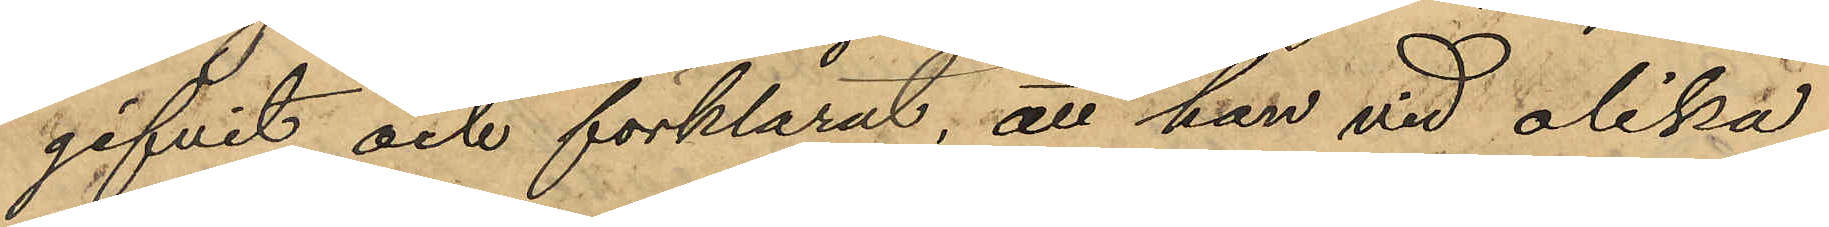gifvit och förklarat, att han vid olika
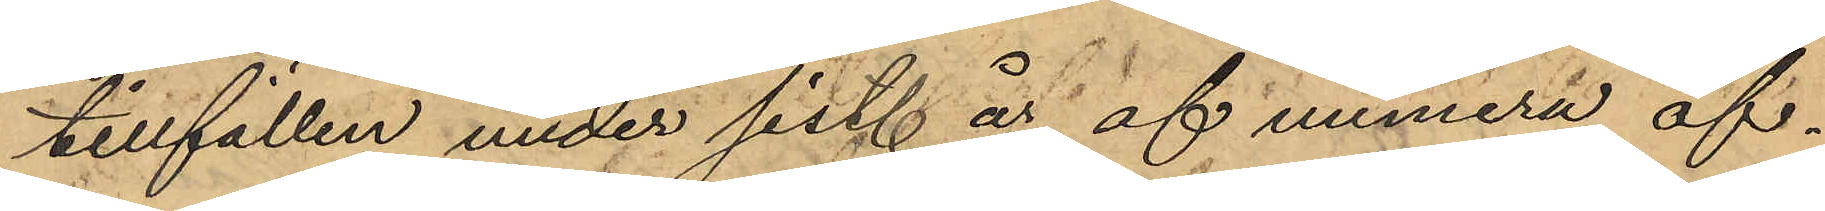tillfällen under sist. år af numera af¬
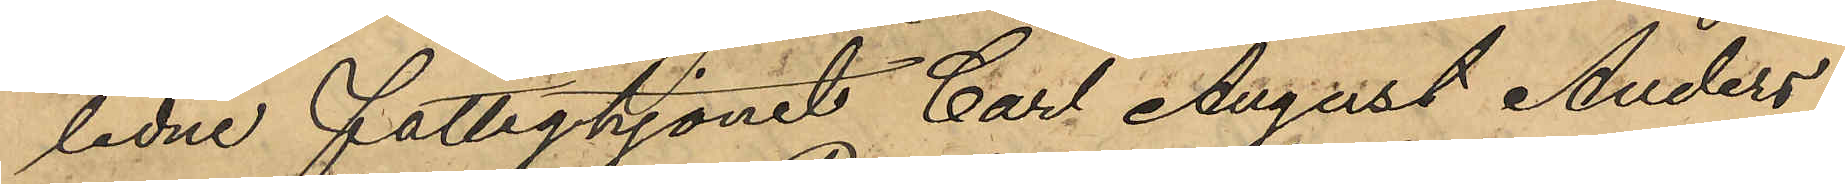ledne fattighjonet Carl August Anders¬
